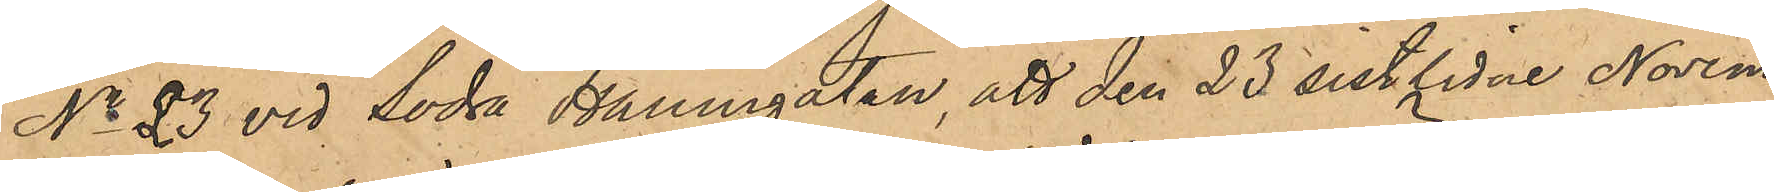No 23 vid Södra Hamngatan, att den 23 sistlidne Novem¬
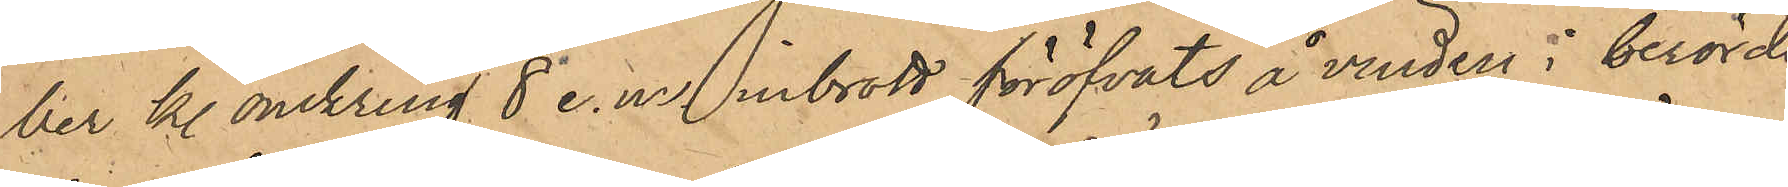ber kl. omkring 8 e. m. inbrott föröfvats å vinden i berörde
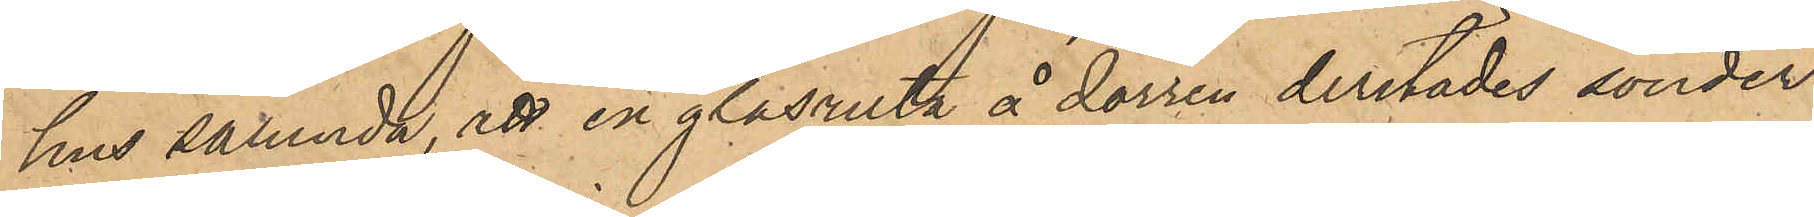hus sålunda, att en glasruta å dörren derstädes sönder¬
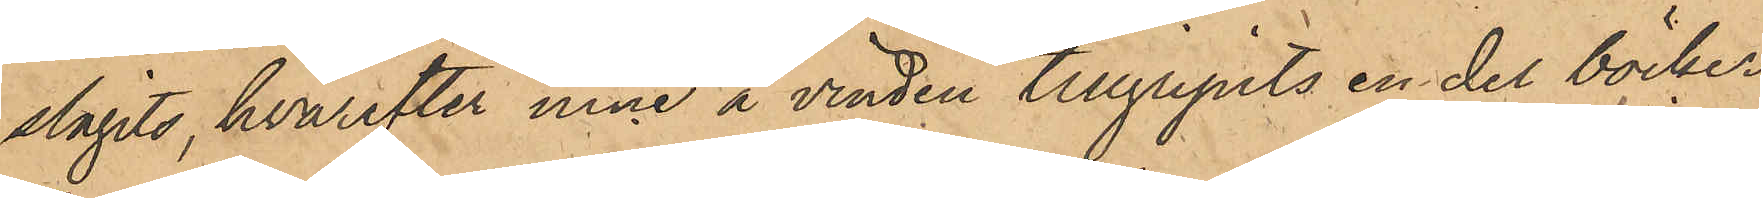slagits, hvarefter inne i vinden tillgripits en del böcker
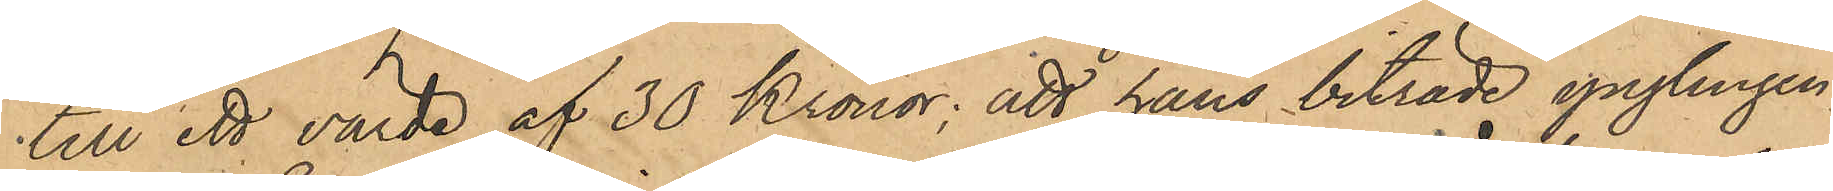till ett värde af 30 Kronor; att hans biträde ynglingen
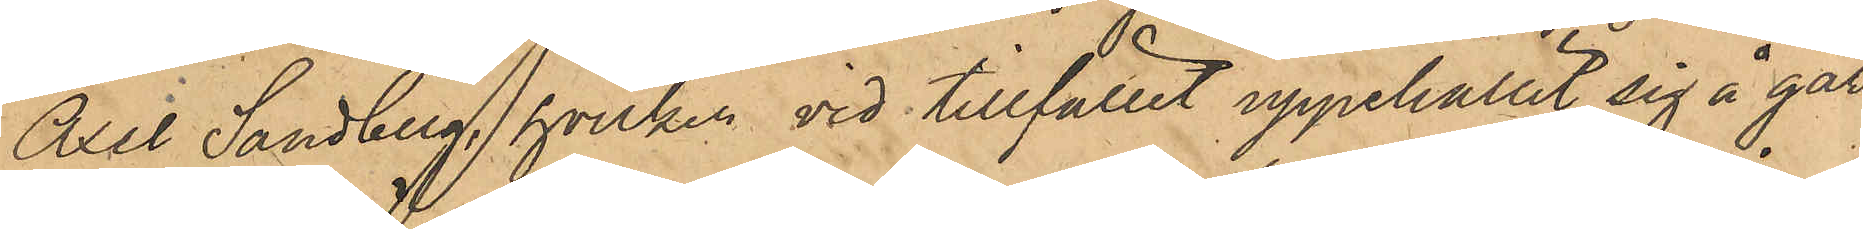Axel Sandberg, hvilken vid tillfället uppehållit sig å går¬
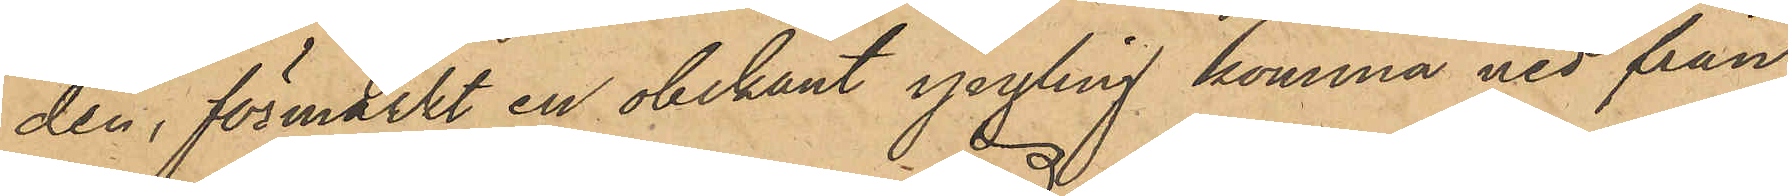den, förmärkt en obekant yngling komma ned från
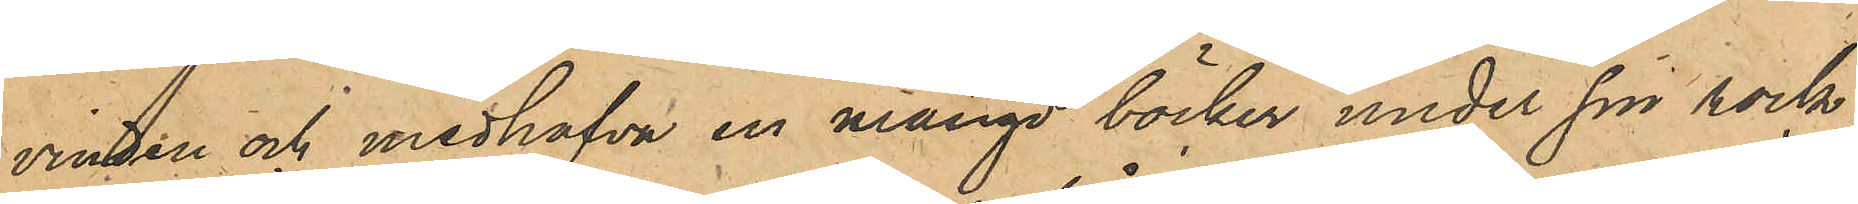vinden och medhafva en mängd böcker under sin rock,
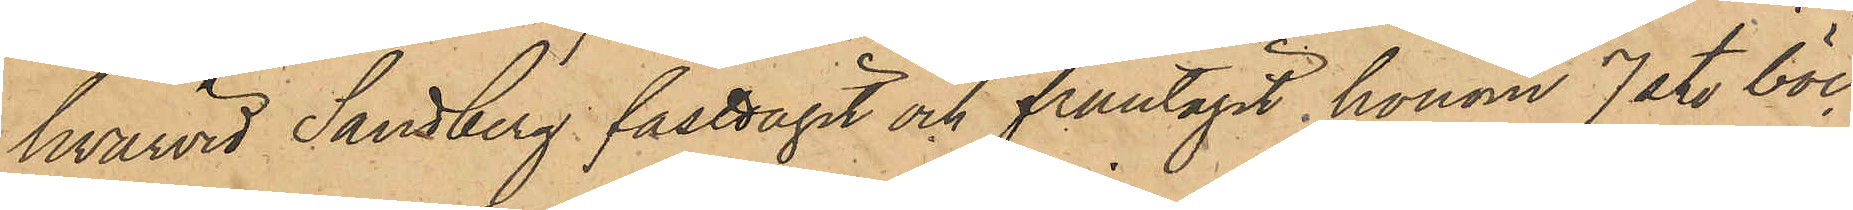hvarvid Sandberg fasttagit och fråntagit honom 7 st. böc¬
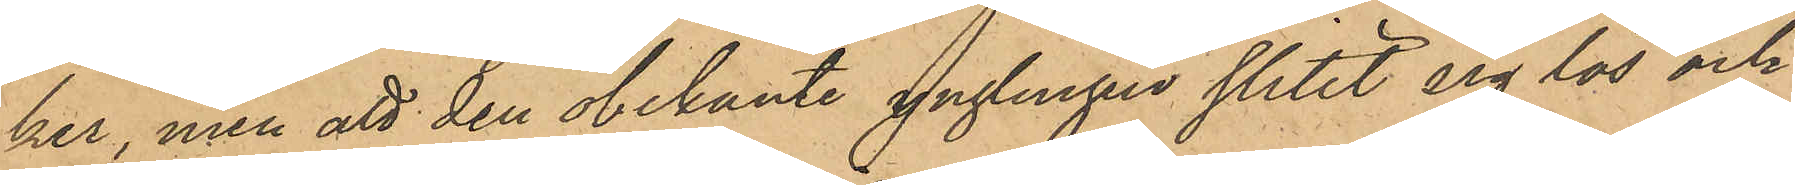ker, men att den obekante yngligen slitit sig lös och
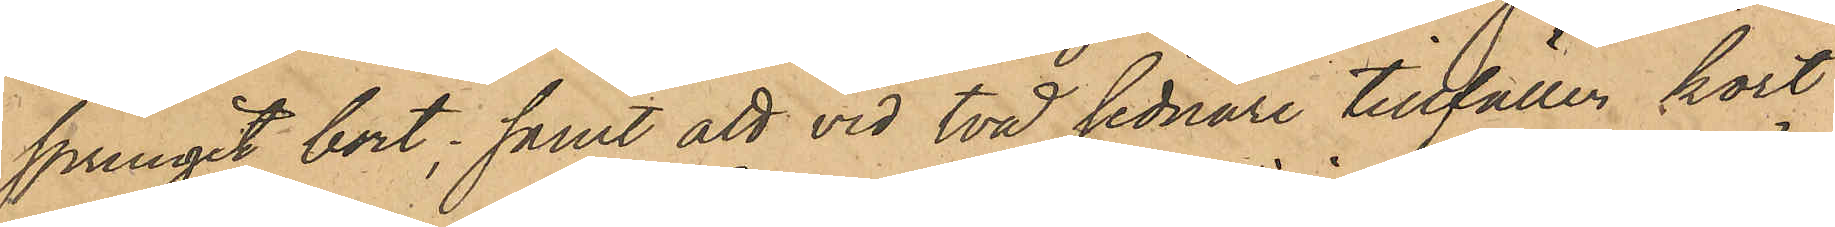sprungit bort; samt att vid två sednare tillfällen kort
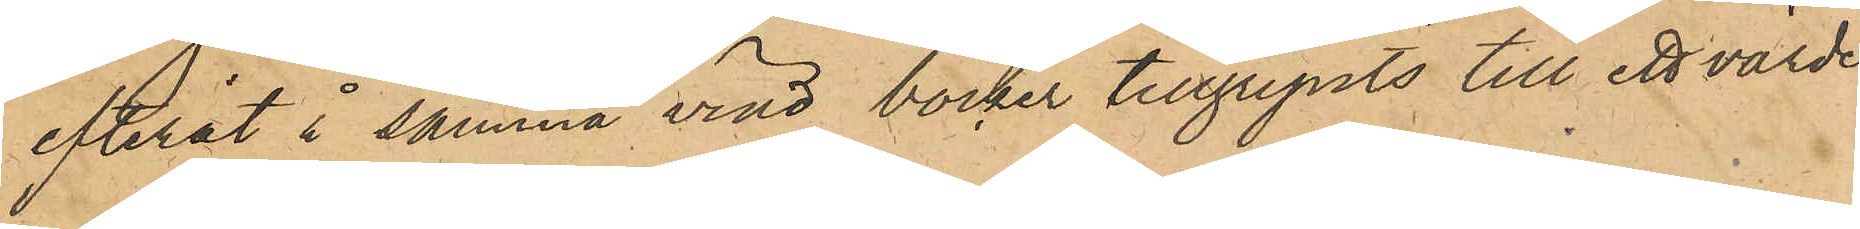efteråt i samma vind böcker tillgripits till ett värde
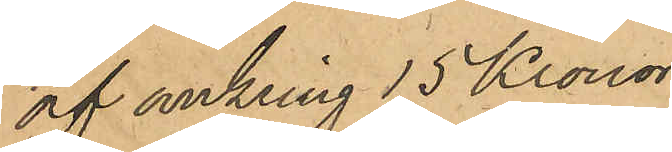af omkring 15 Kronor;
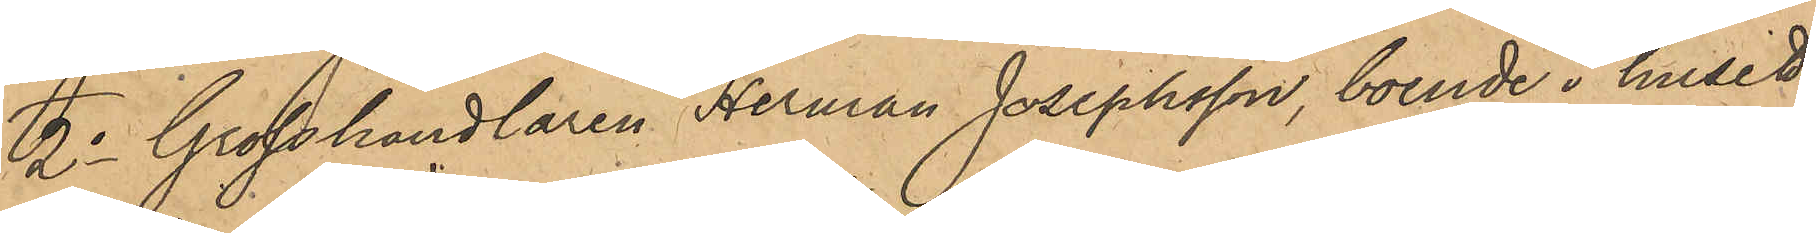2o Grosshandlaren Herman Josephsson, boende i huset
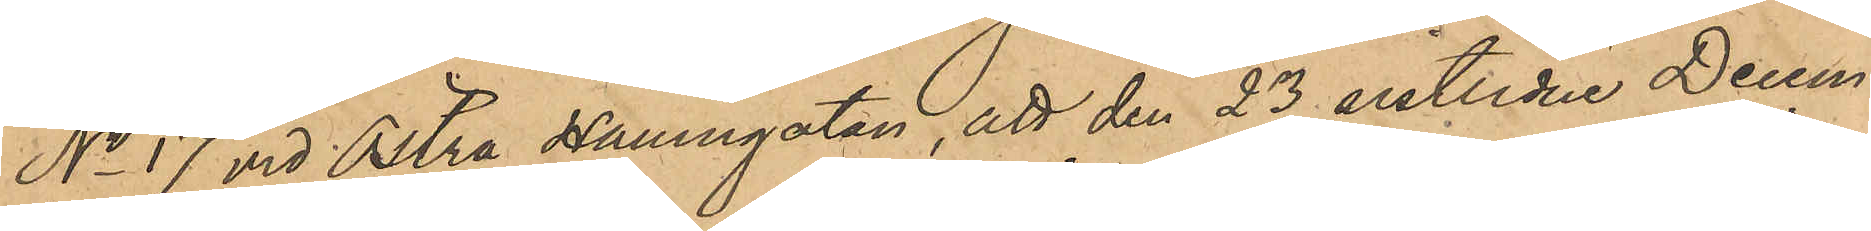No 17 vid Östra Hamngatan, att den 23 sistlidne Decem¬
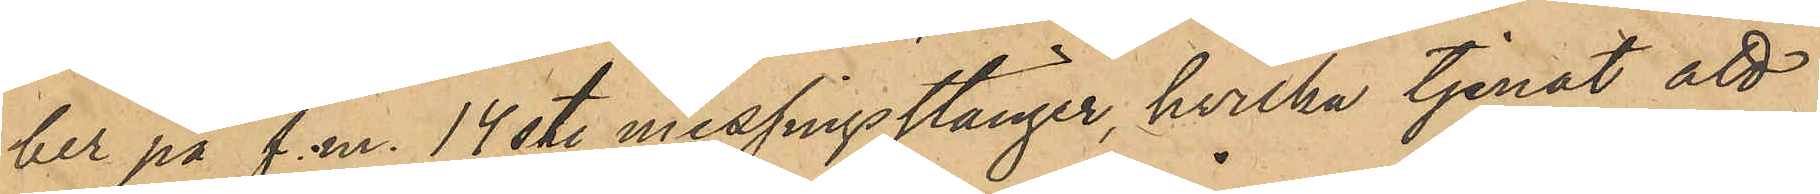ber på f.m. 14 st. messingsstänger, hvilka tjenat att
